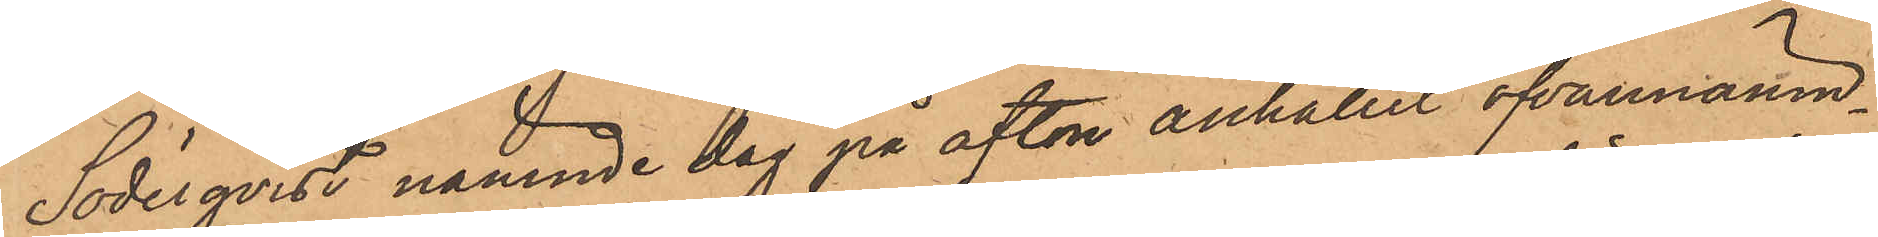Söderqvist nämnde dag på afton anhållit ofvannämn¬
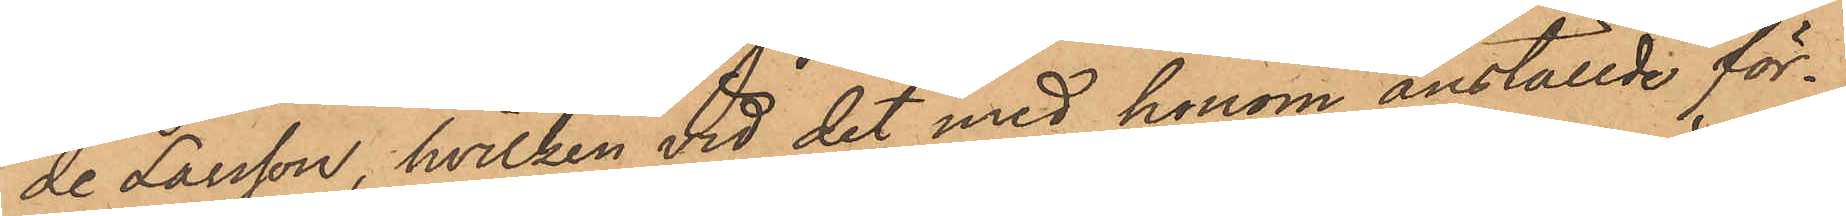de Larsson, hvilken vid det med honom anställde för¬
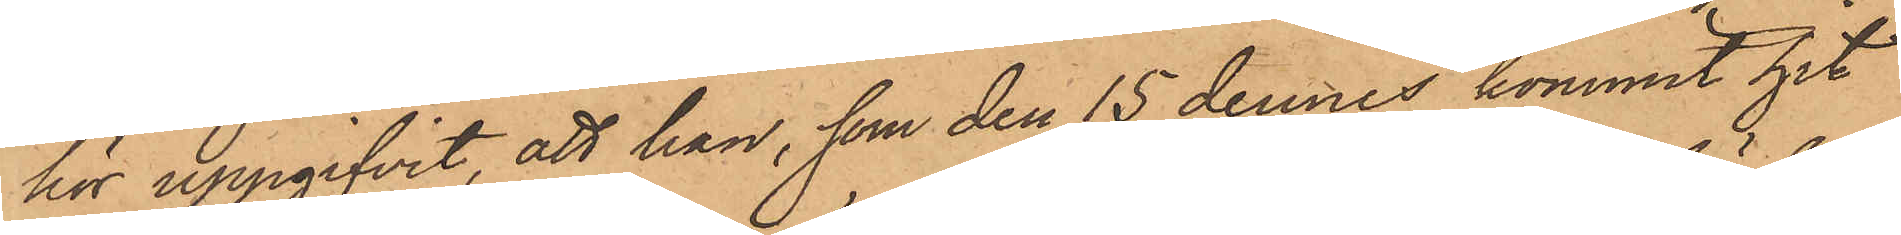hör uppgifvit, att han, som den 15 dennes kommit hit
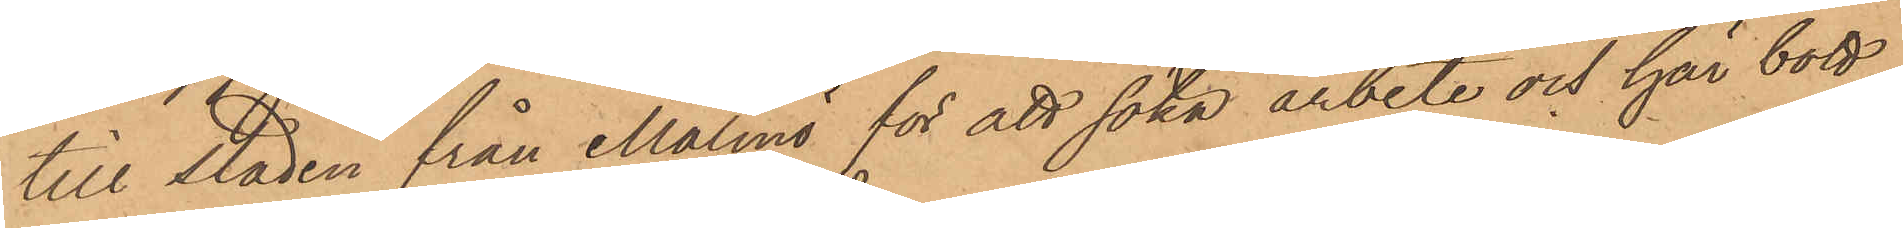till staden från Malmö för att söka arbete och här bott
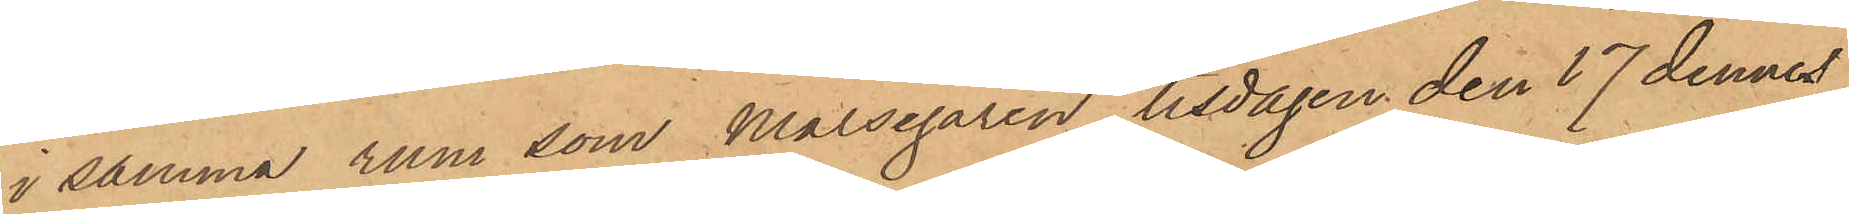i samma rum som Målsegaren, tisdagen den 17 dennes
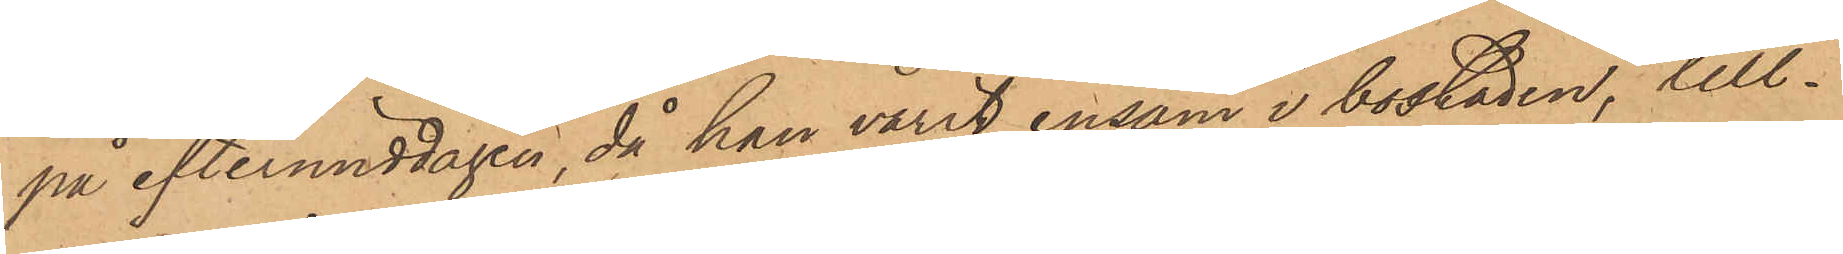på eftermiddagen, då han varit ensam i bostaden, till¬
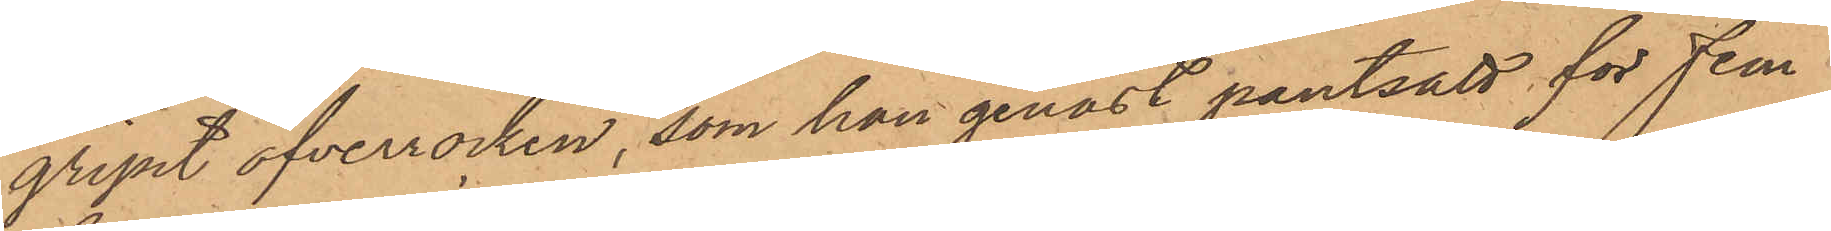gripit öfverrocken, som han genast pantsatt för fem
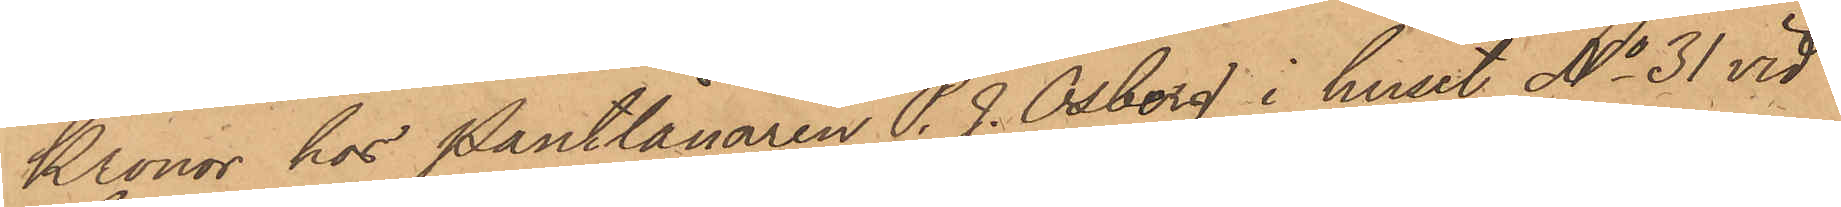Kronor hos Pantlånaren P. J. Osberg i huset No 31 vid
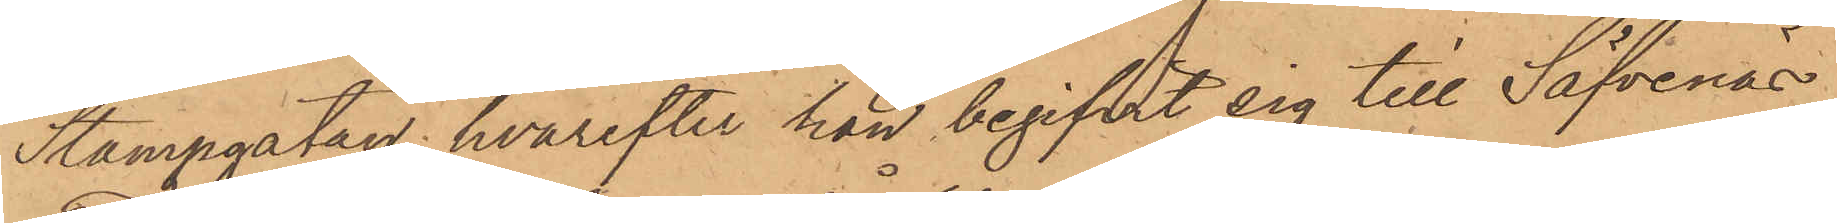Stampgatan, hvarefter han begifvit sig till Säfvenäs
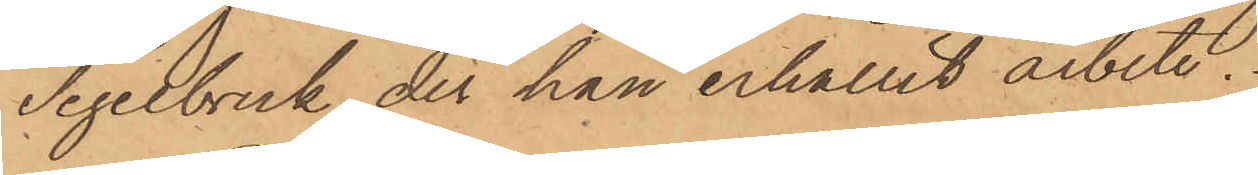Tegelbruk der han erhållit arbete;
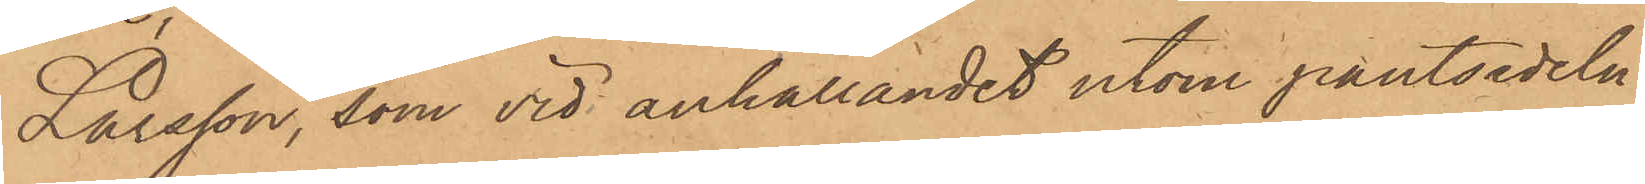Larsson, som vid anhållandet utom pantsedeln
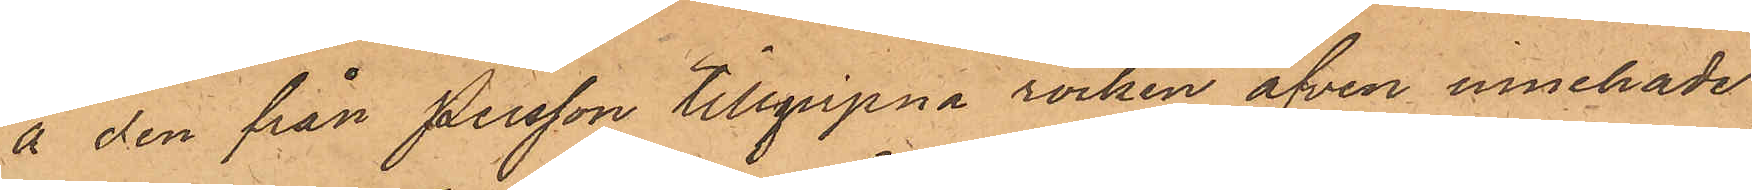å den från Persson tillgripna rocken äfven innehade
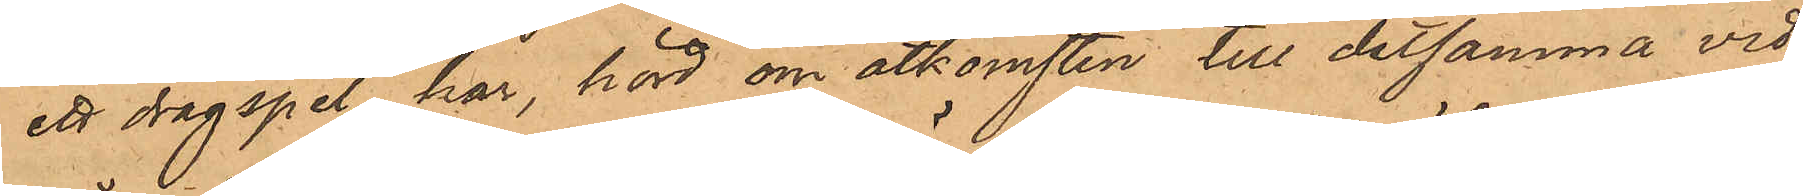ett dragspel, har, hörd om åtkomsten till detsamma vid¬
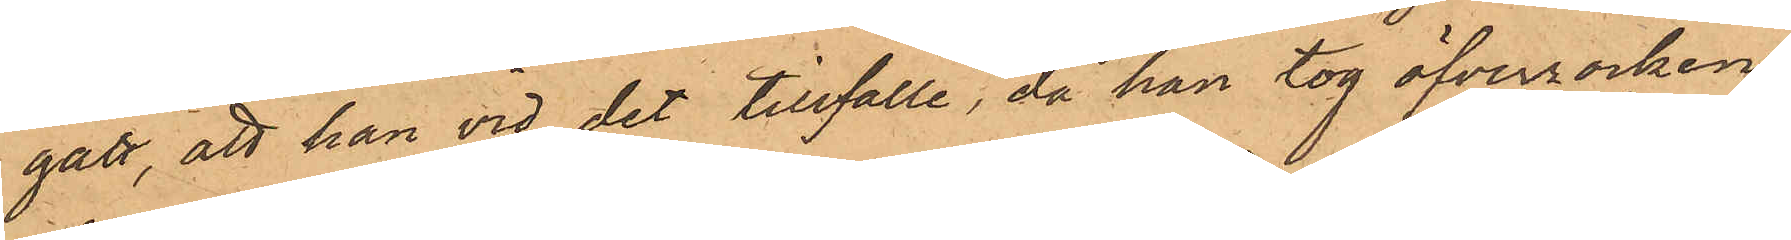gått, att han vid det tillfälle, då han tog öfverrocken,
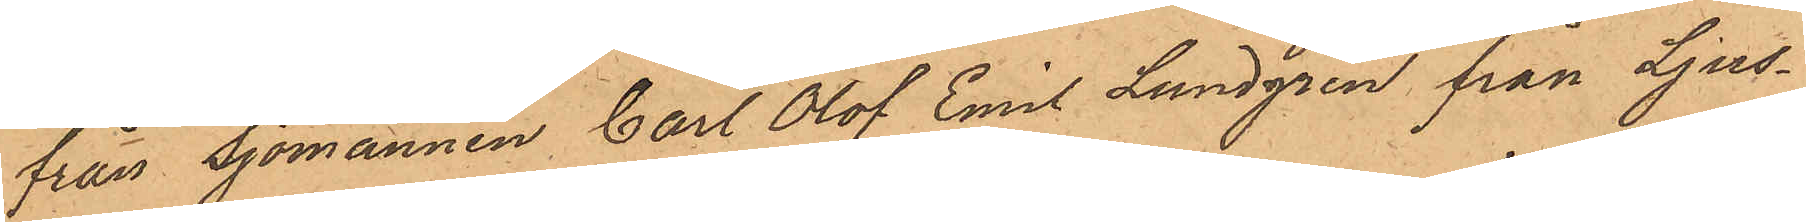från Sjömannen Carl Olof Emil Lundgren från Ljus¬
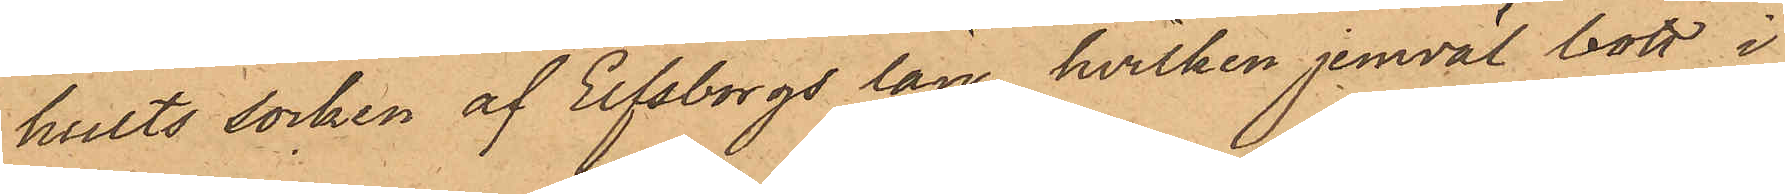hults socken af Elfsborgs län, hvilken jemväl bott i
